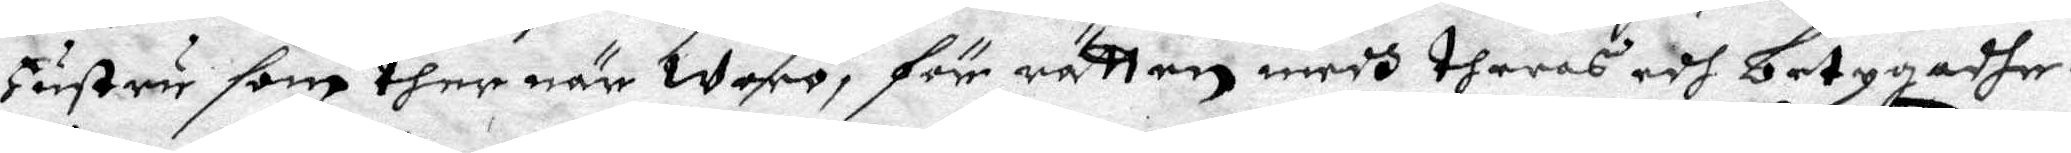Hustru som ther när woro, för rätten medh theras edh betygadhe.
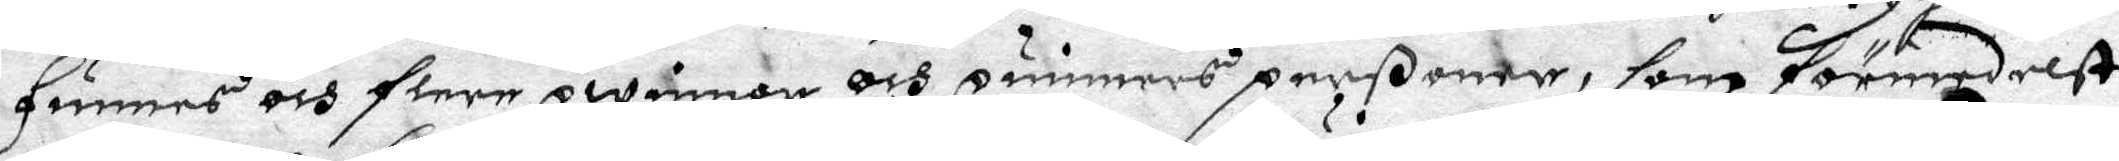Finnes och flere qwinnor och qwinnes perßoner, som förmedelst
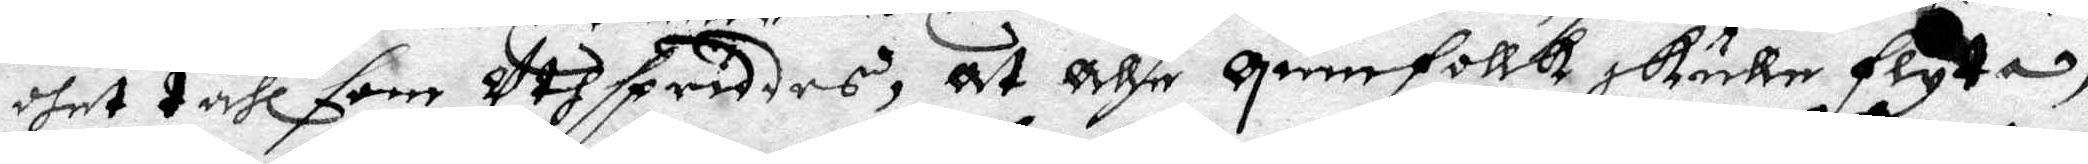dhet tahl som Uthsprides, At Alle qwinnfollk skulle flyta,
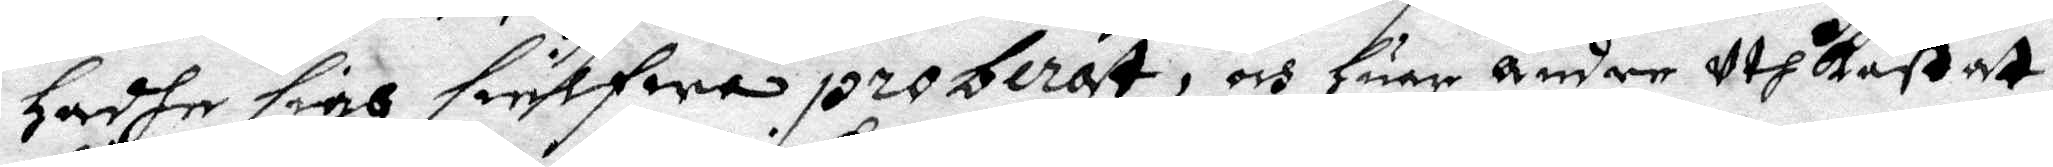hadhe sigh sielfwa proberat, och huar andre uthkastat,
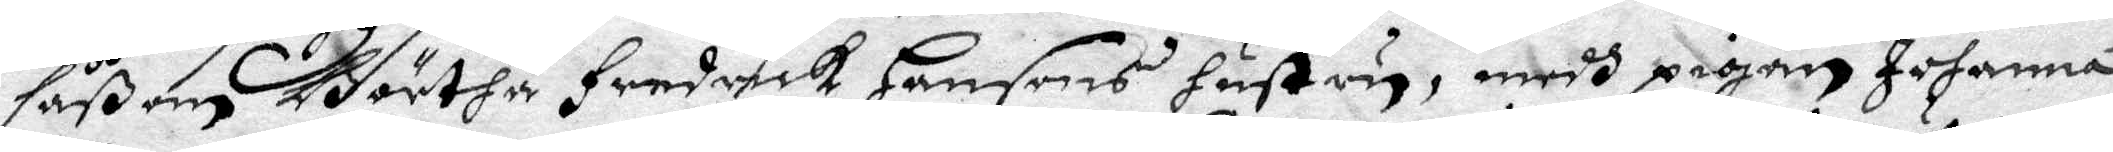såßom Börtha Fredrick Hansons hustru, medh pigan Johanna
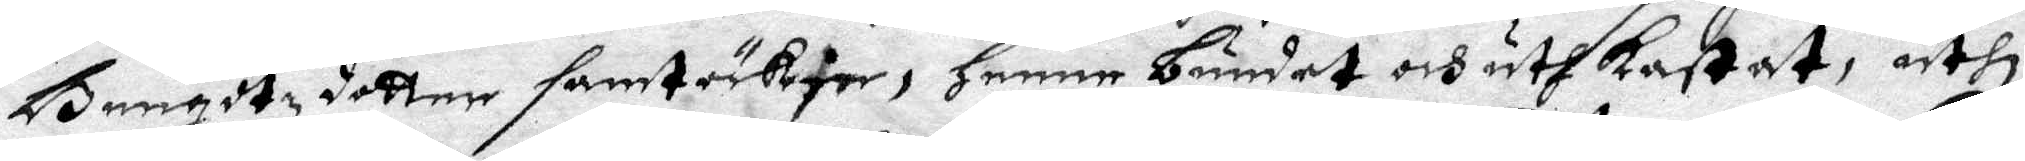Bengtzdotter samtäckte, henne bundit och uthkastat, uthi
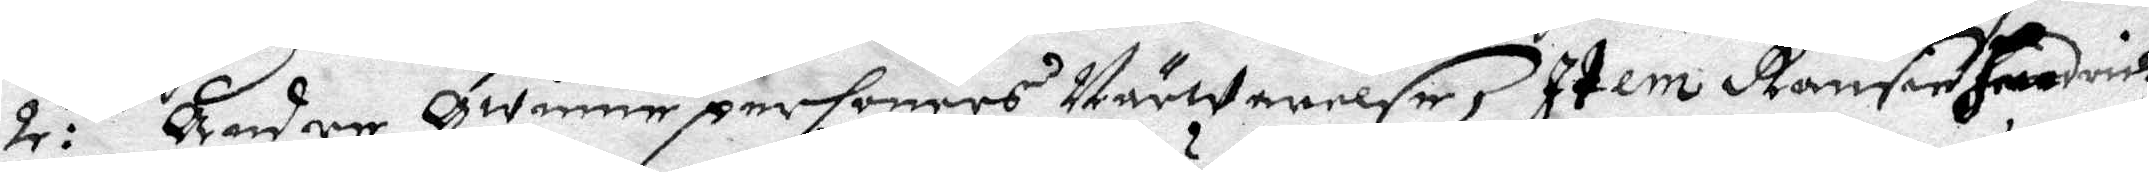2:ne kender qwinnepersoners Närwarelse, Item Ransen Fredrik
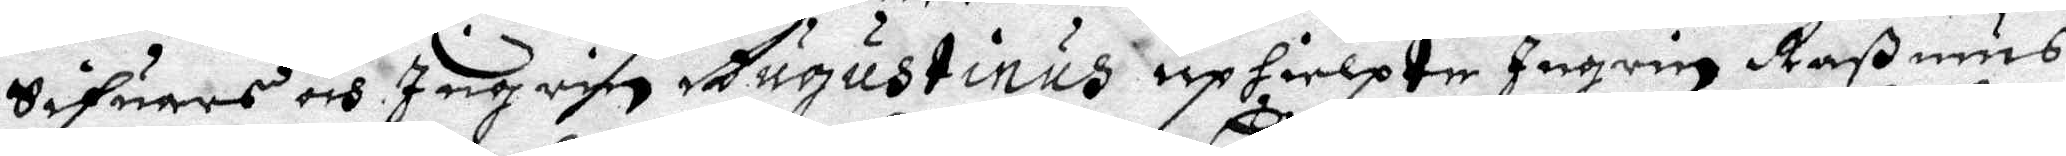Sifuars och Ingrin Augustinus uphielte Ingrin Raßmus
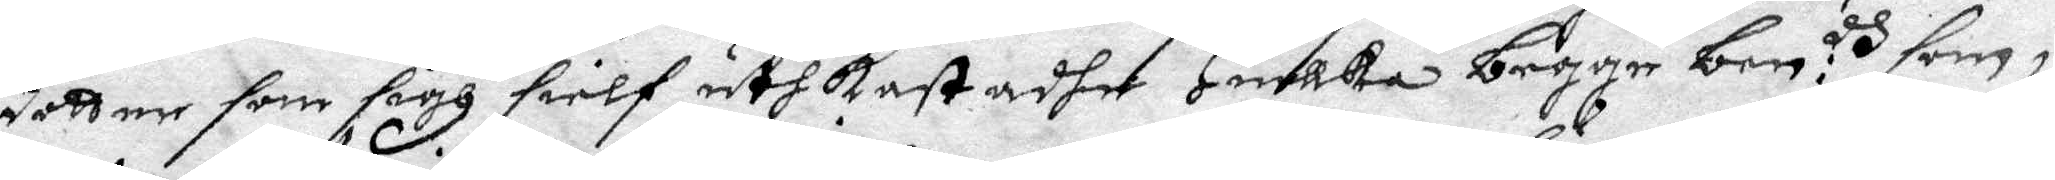dotter som sigh sielf uthkastadhe huilka begge ben:dh som i
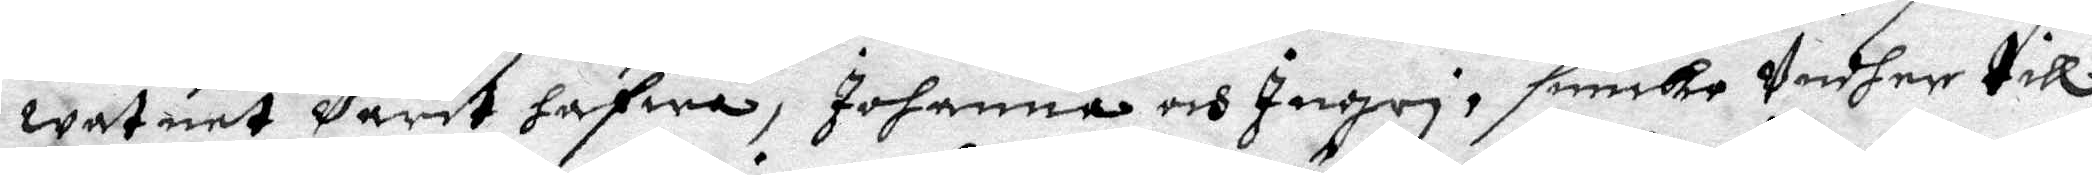watnet Varit hafwa, Johanna och Ingri,siunka Undher till
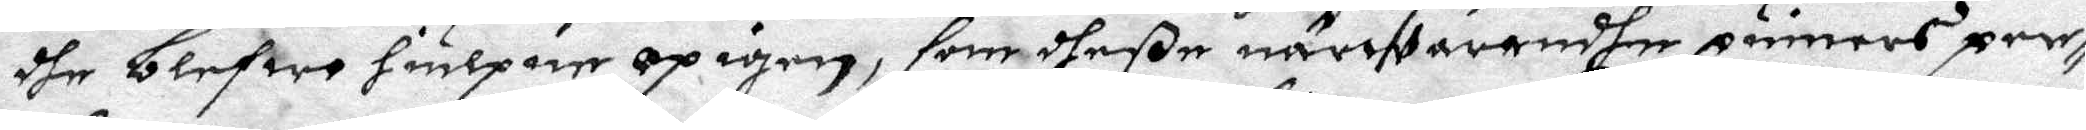dhe blefwo hiulpen op igen, som dheße närwarandhe quinners per¬
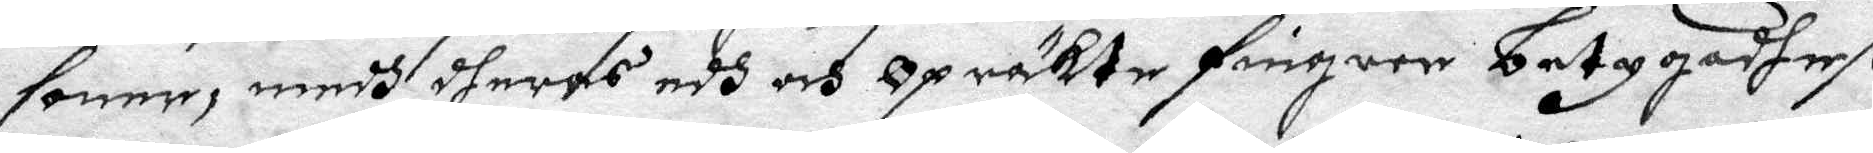soner, medh dheras edh och Opräkte fingrar betygadhe.
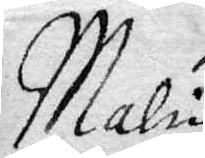Malin
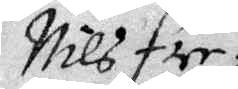Nils Fre¬
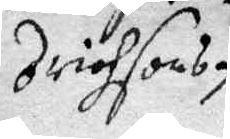drichsons.
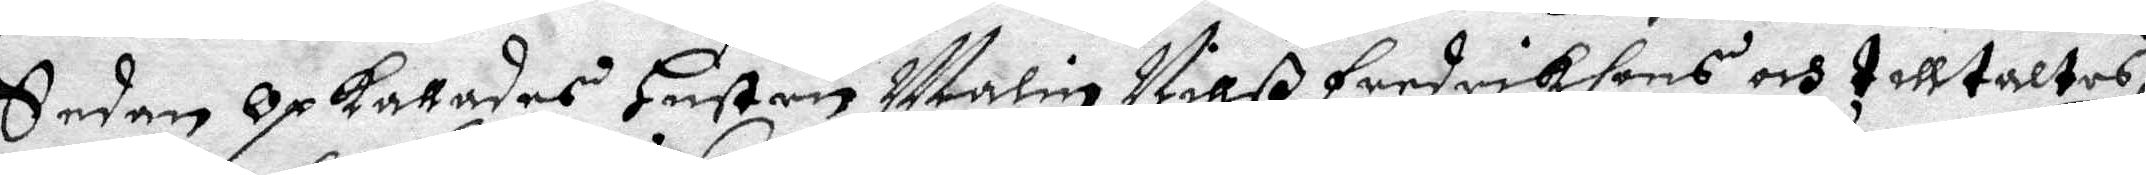Sedan Opkallades Hustru Malin Nilß Fredriksons och tilltaltes
